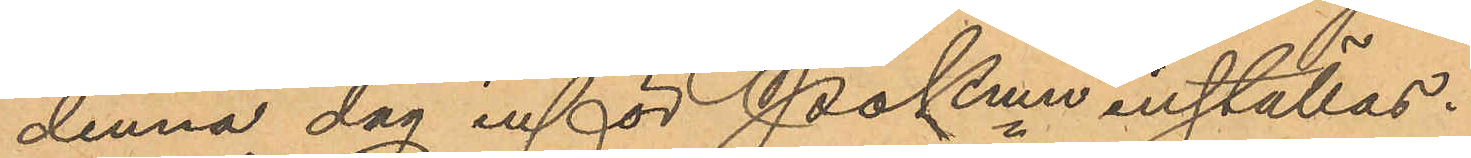denna dag inför Pkmn inställas.
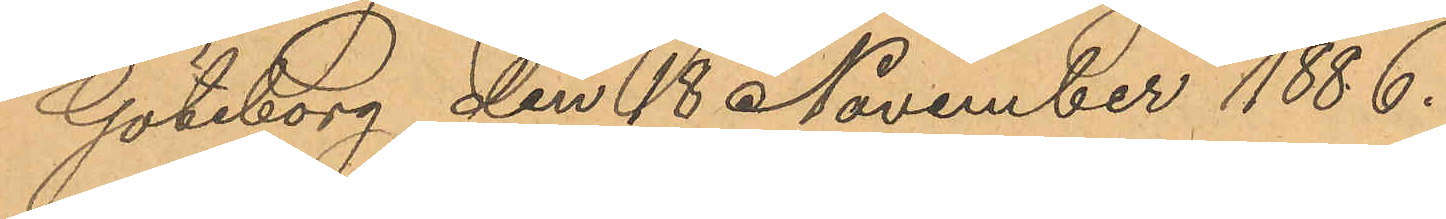Göteborg den 18 November 1886.
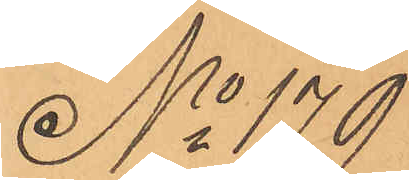No 179
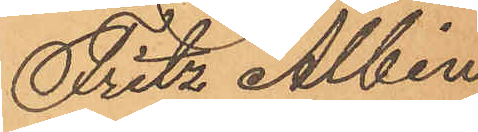Fritz Albin
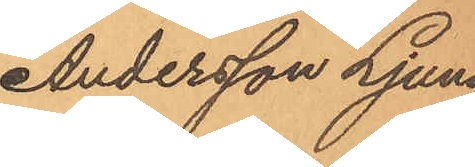Andersson Ljung¬
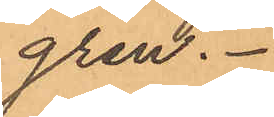gren.
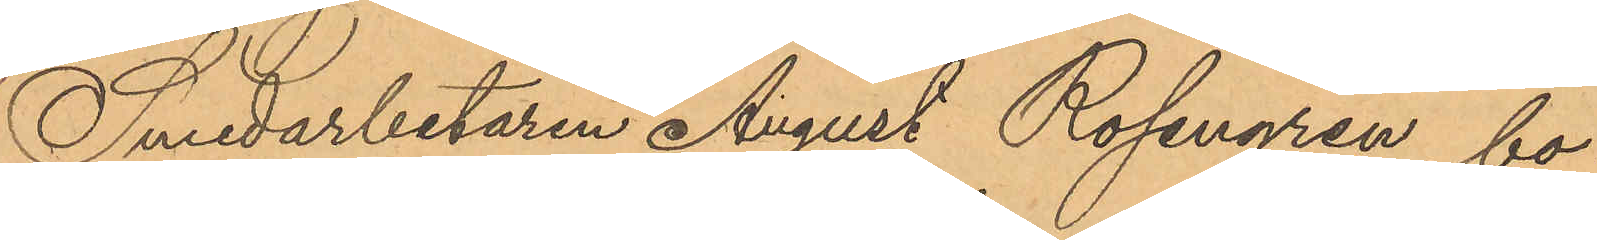Smedarbetaren August Rosengren bo¬
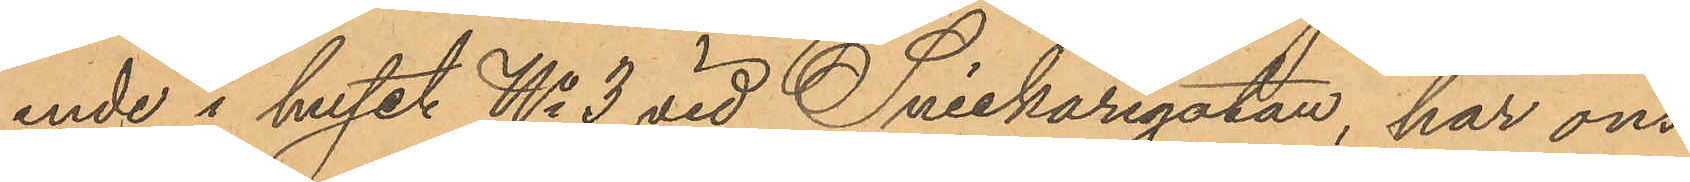ende i huset No 3 vid Snickaregatan, har ons¬
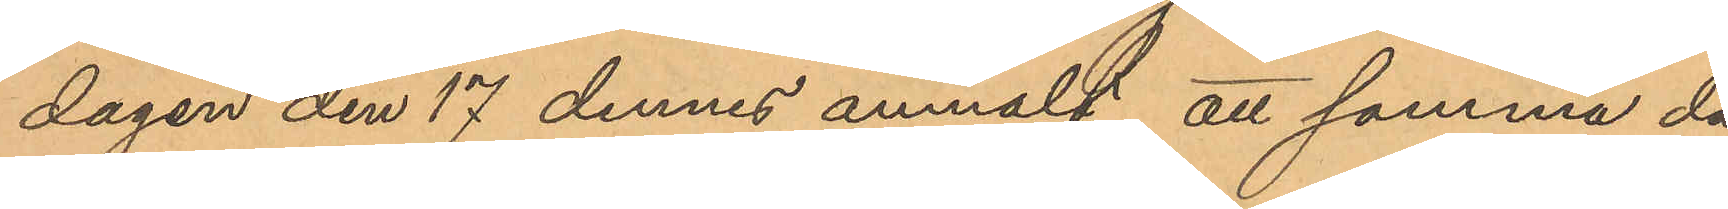dagen den 17 dennes anmält, att samma dag
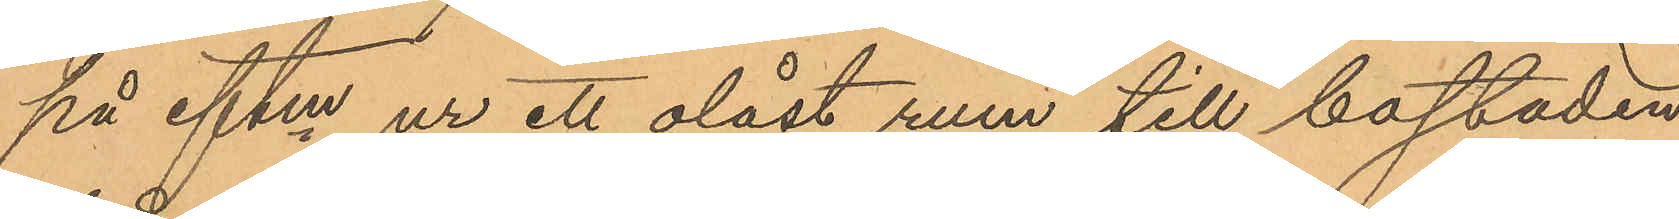på eftm ur ett olåst rum till bostaden
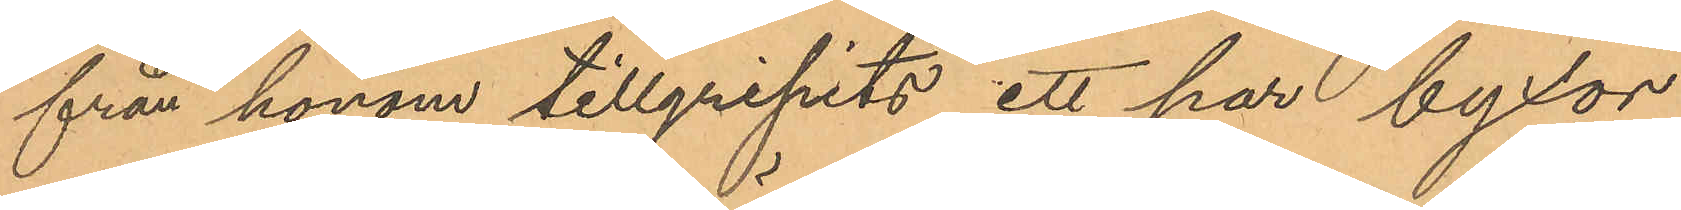från honom tillgripits ett par byxor
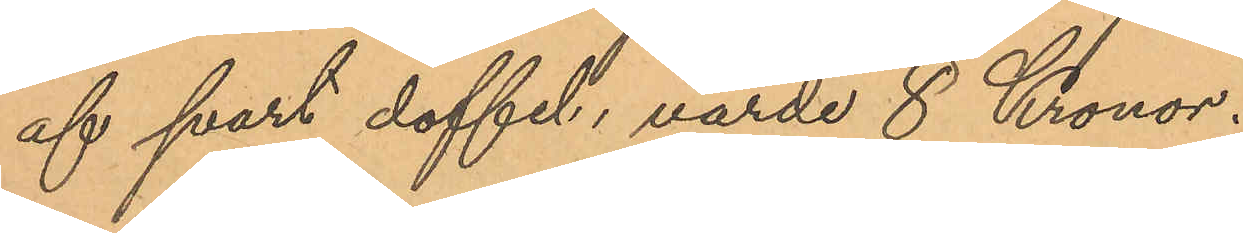af svart doffel, värde 8 Kronor.
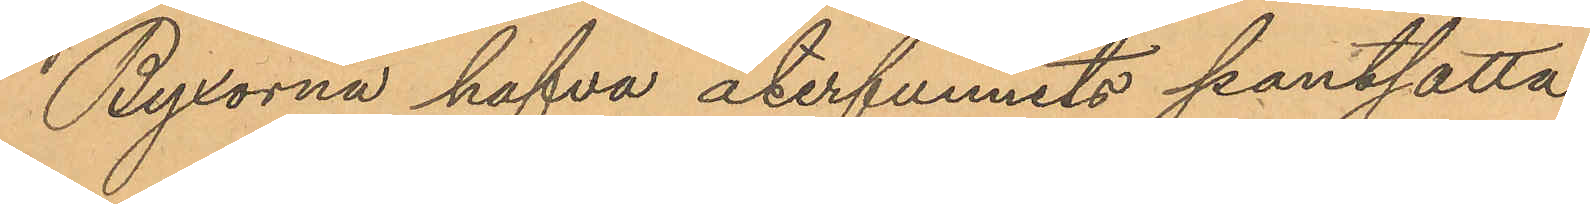Byxorna hafva återfunnits pantsatta
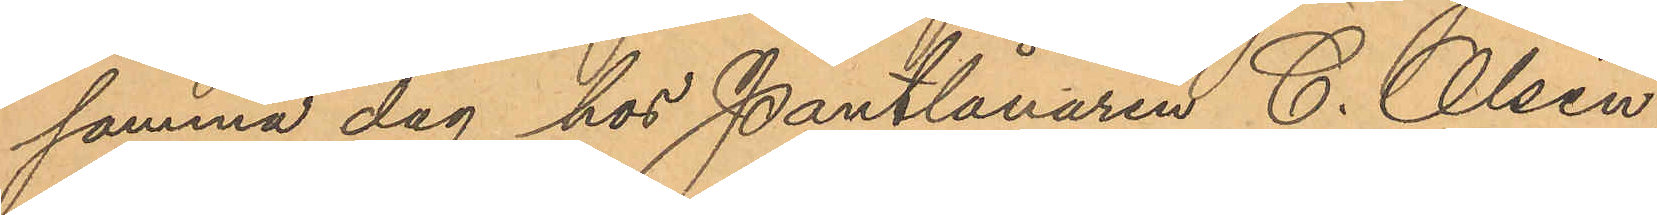samma dag hos Pantlånaren C. Olsén
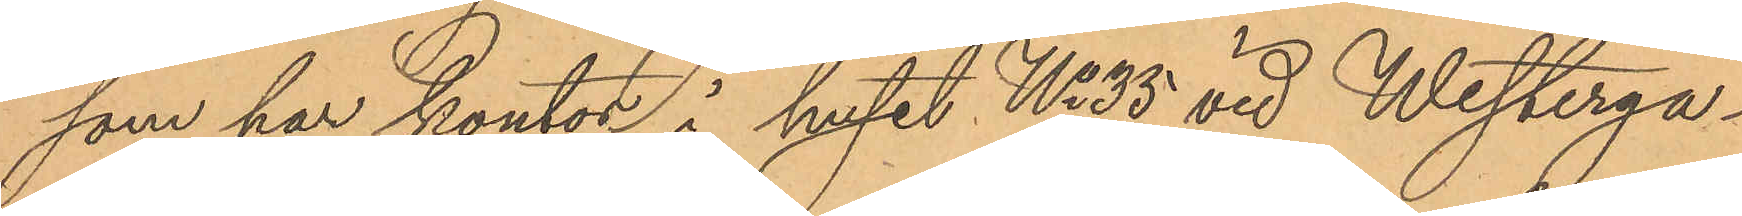som har kontor i huset No 35 vid Westerga¬
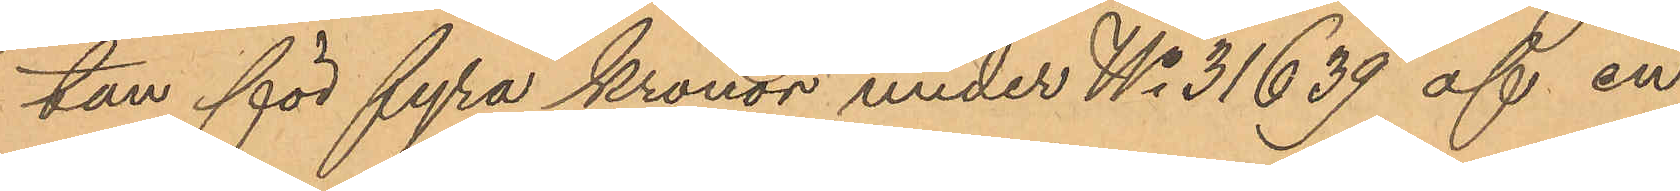tan för fyra kronor under No 31639 af en
